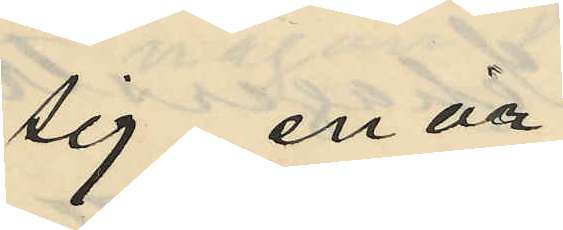sig enär
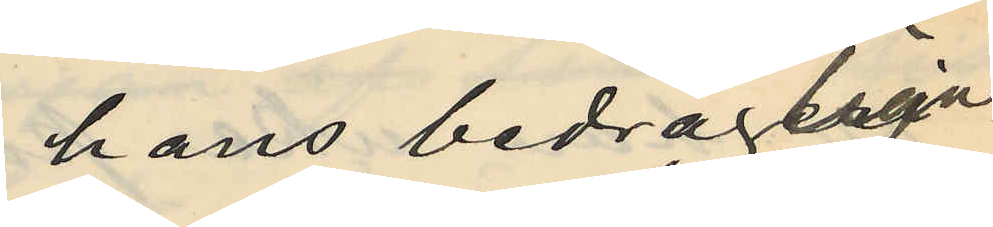hans bedrägliga
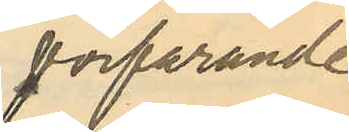förfarande
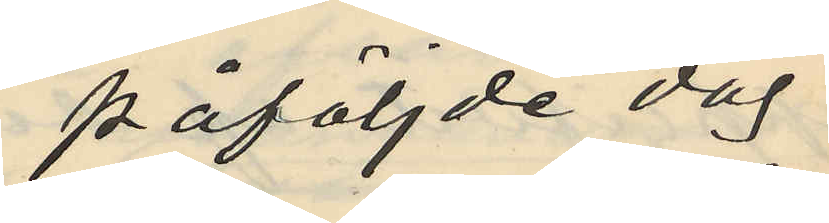påföljde dag
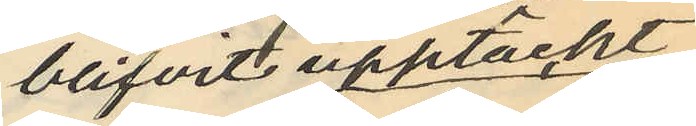blifvit upptäckt
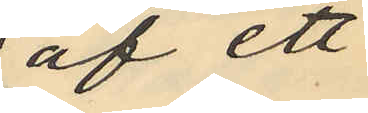af ett
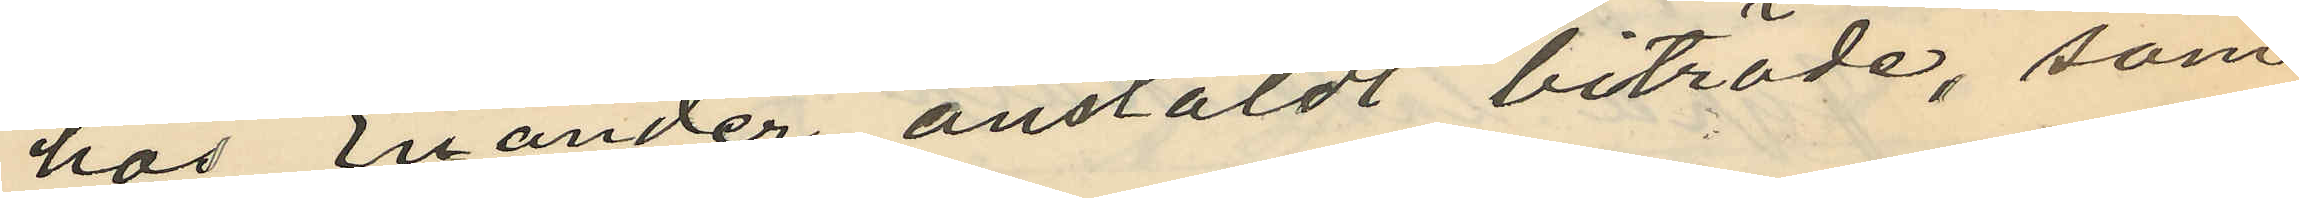hos Enander anstäldt biträde, som
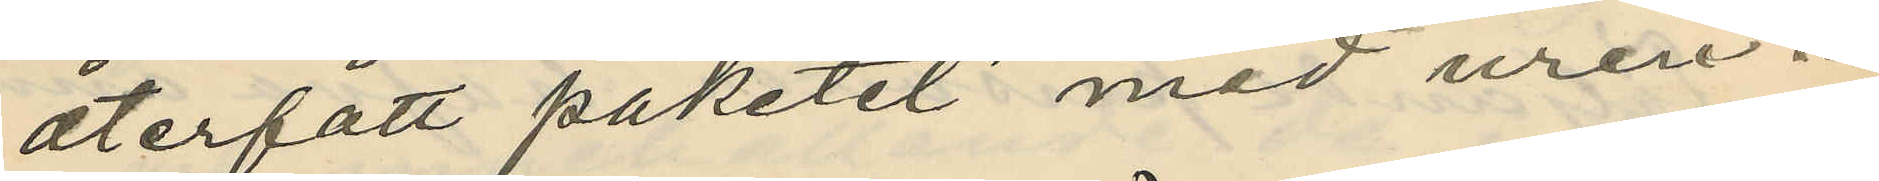återfått paketet med uren.
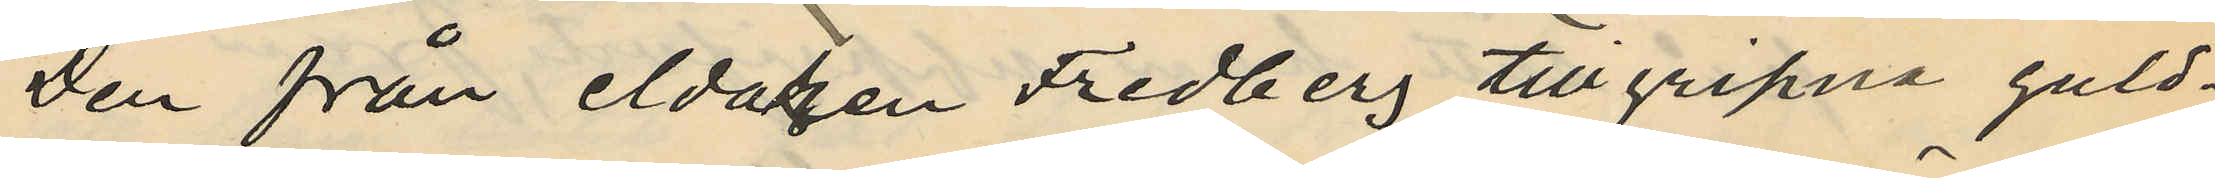Den från eldaren Fredberg tillgripne guld¬
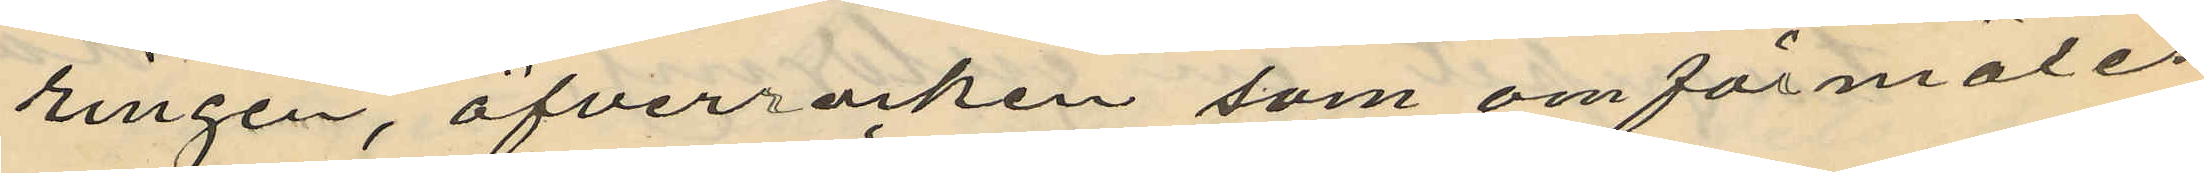ringen, öfverrocken som omförmäles
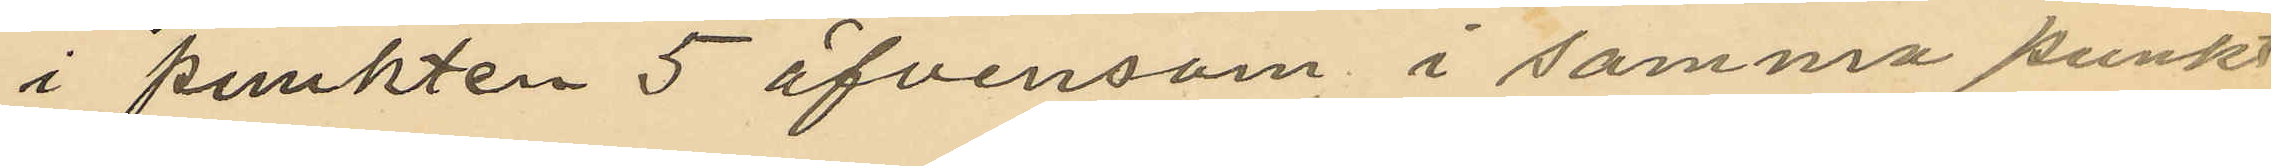i punkten 5 äfvensom i samma punkt
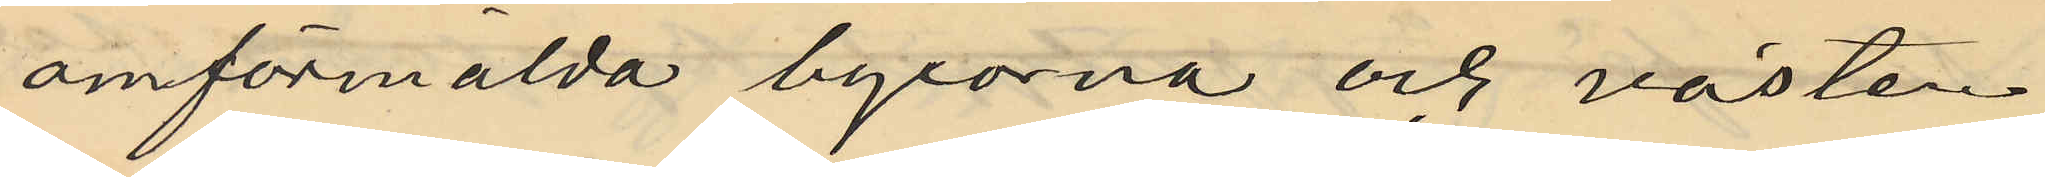omförmälda byxorna och västen
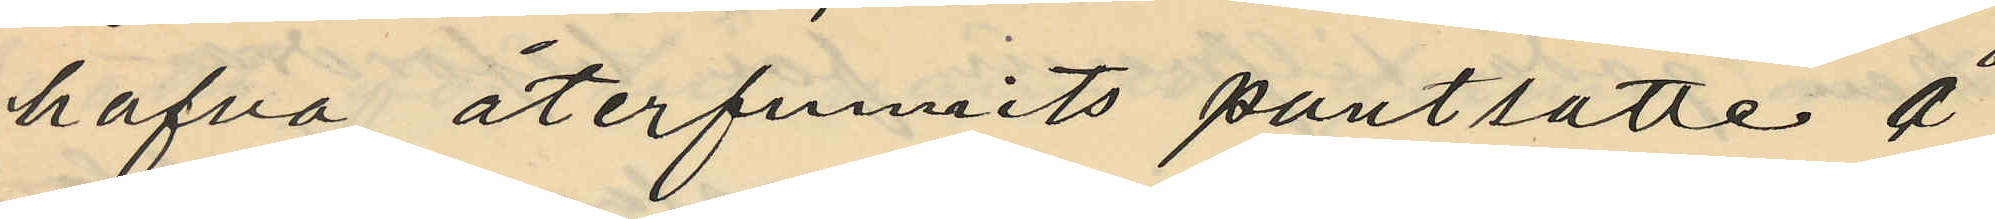hafva återfunnits pantsatte å
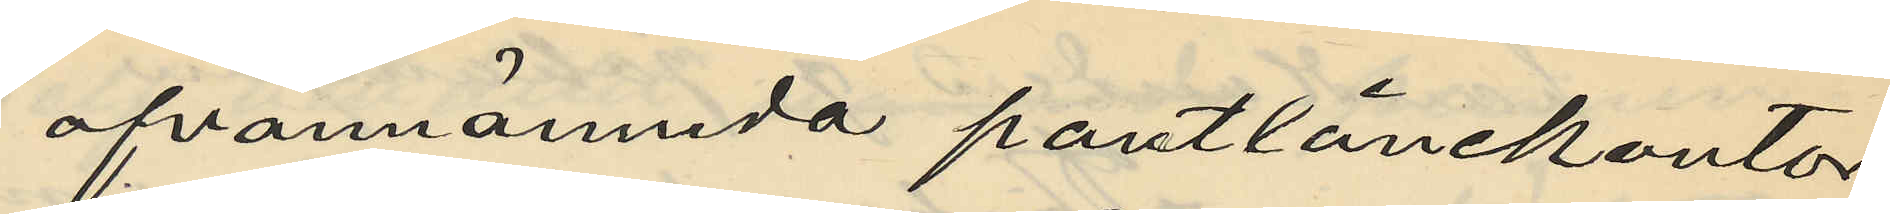ofvannämnda pantlånekontor
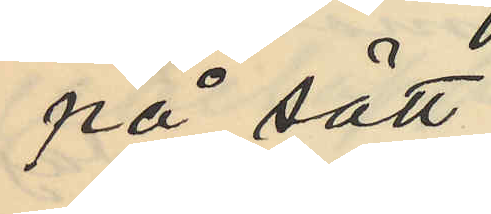på sätt
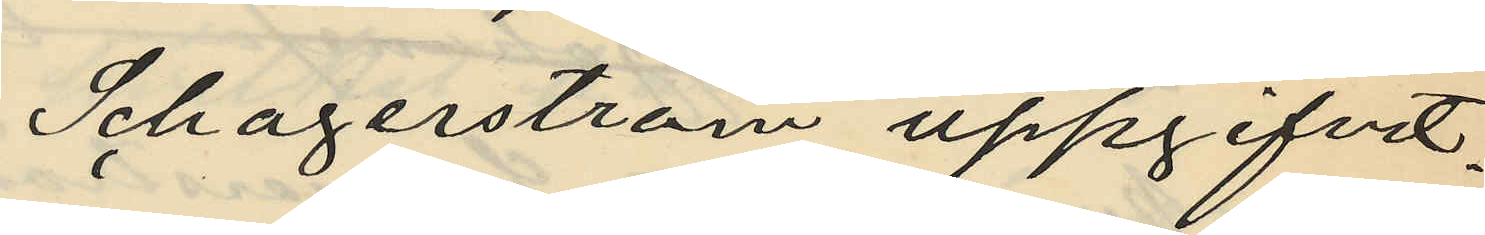Schagerström uppgifvit.
